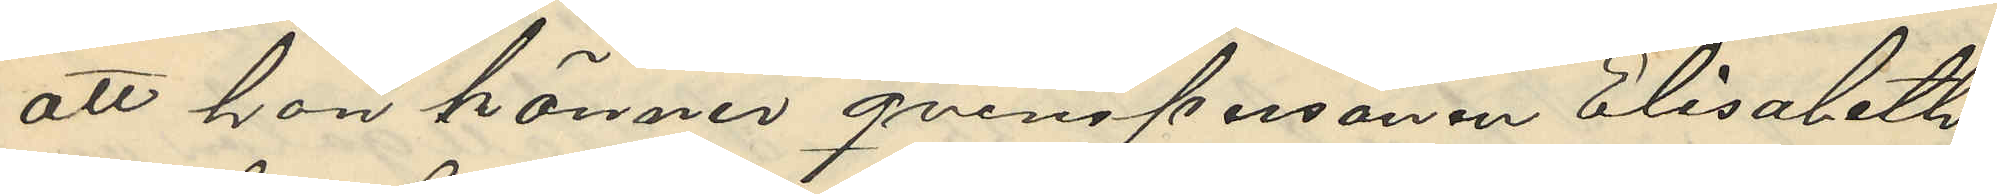att hon känner qvinspersonen Elisabeth
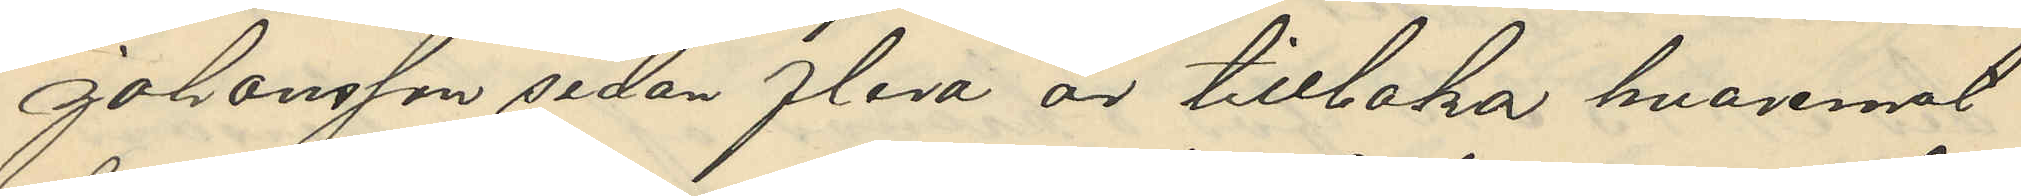Johansson sedan flera är tilllaka hvaremot
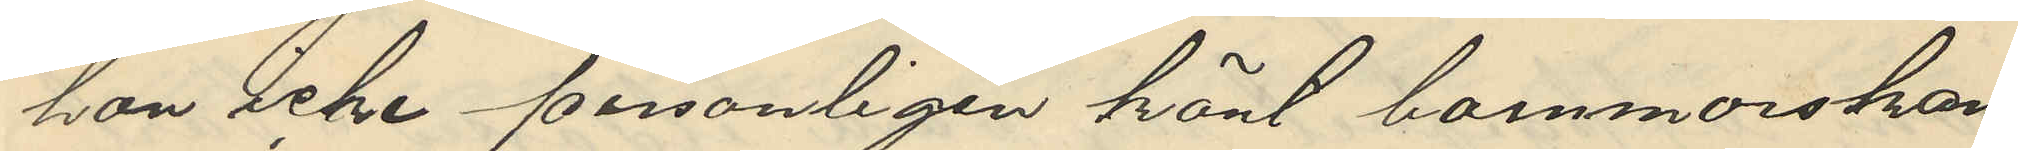hon icke personligen känt barnmorskan
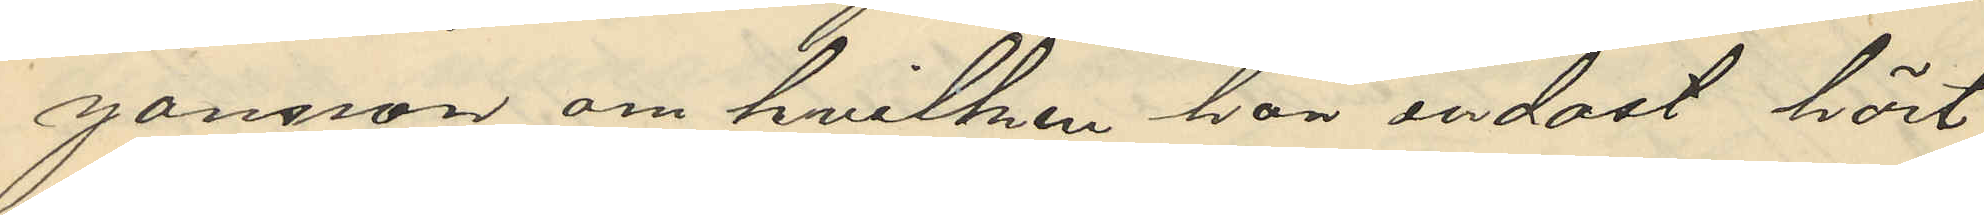Jansson om hvilken hon endast hört
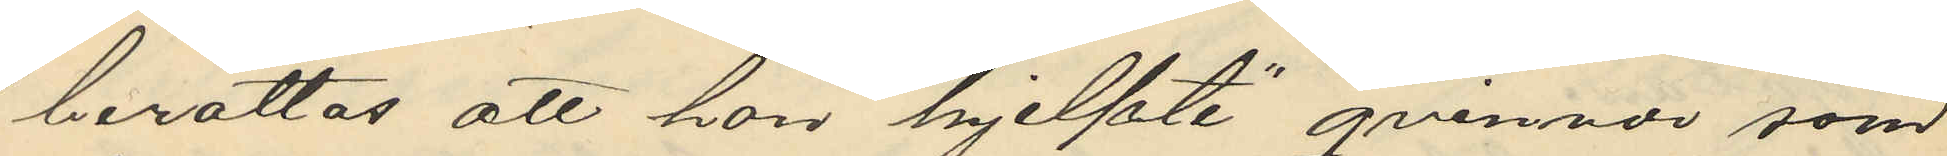berättas att hon hjelpte gvinnor som
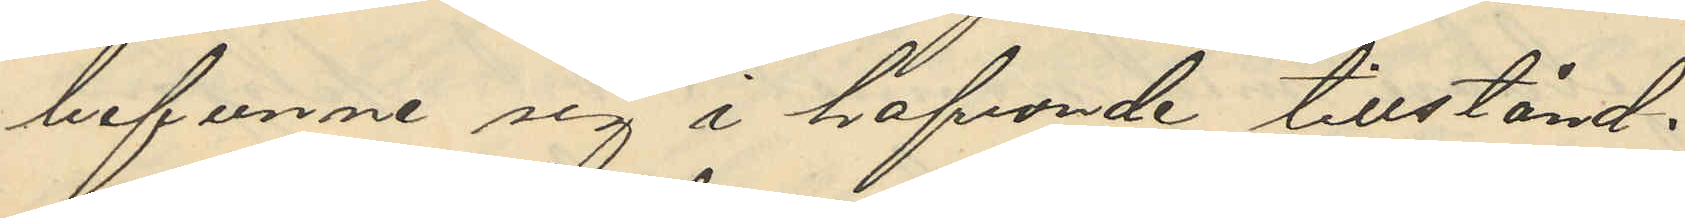befunne sig i hafvande tillstånd,
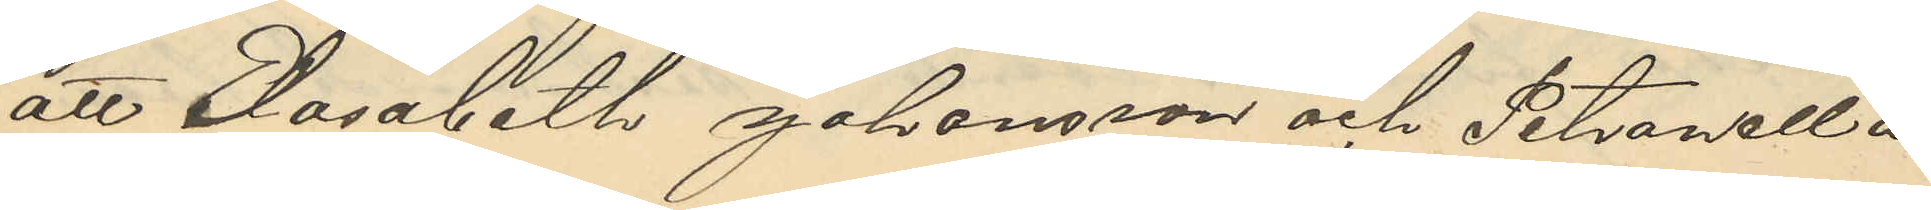att Elisabeth Johansson och Petronella
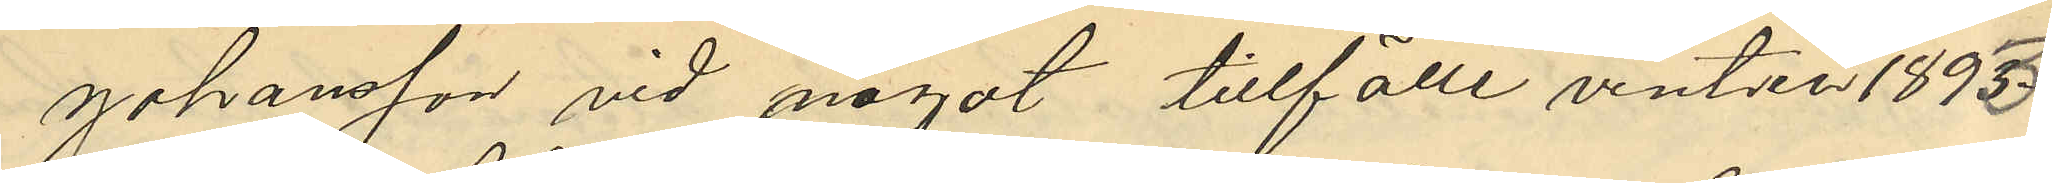Johansson vid något tillfälle vinter 1893-
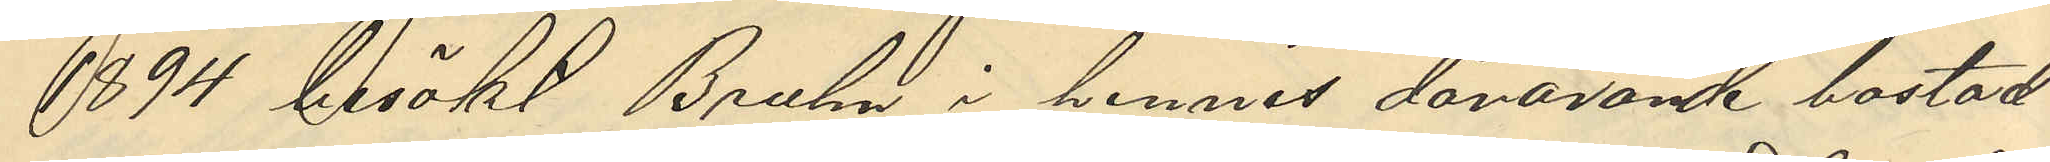194 beööks Bruhn i hennes dåvarande bostad
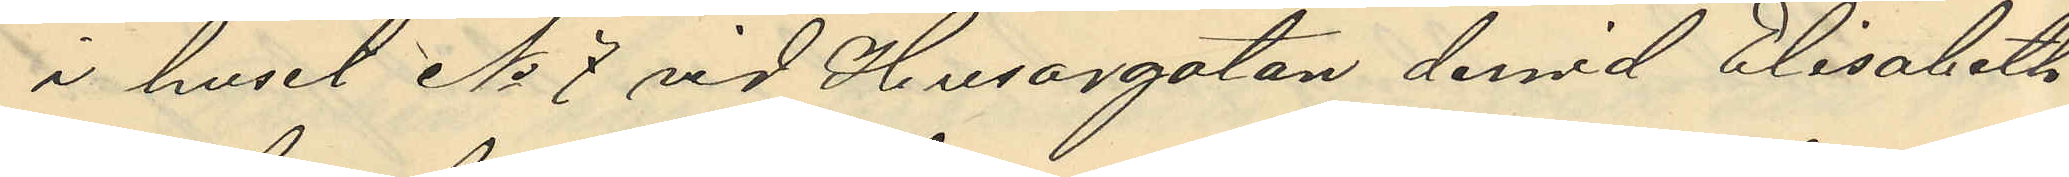i huset No 7 vid Husargatan dervid Elisabeth
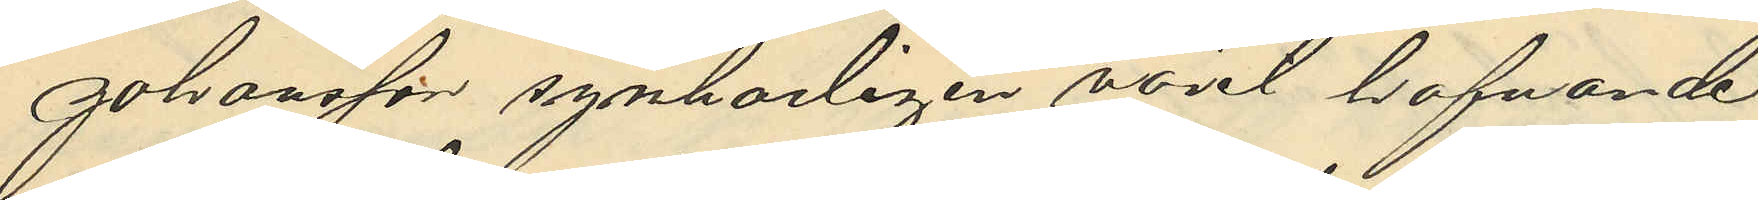Johansson synbarligen varit hafvande
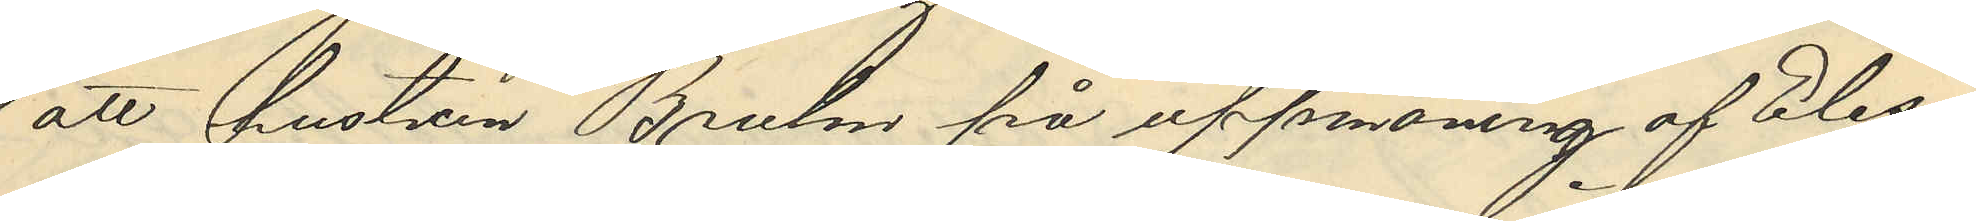att hustrun Bruhn på uppmaning af Elisa¬
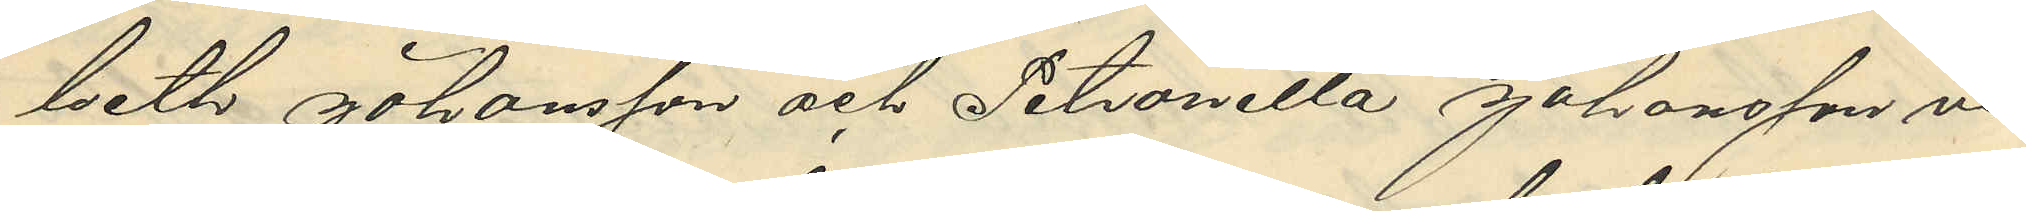beth Johansson och Petronella Johansson vi¬
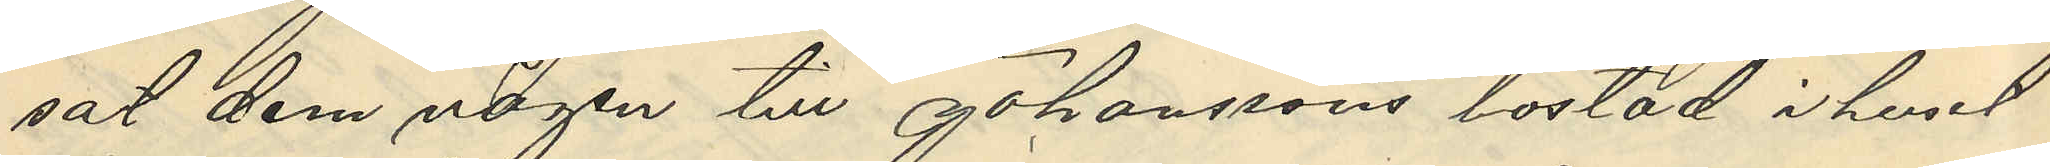sat dem vägen till Johanssons bostad i huset
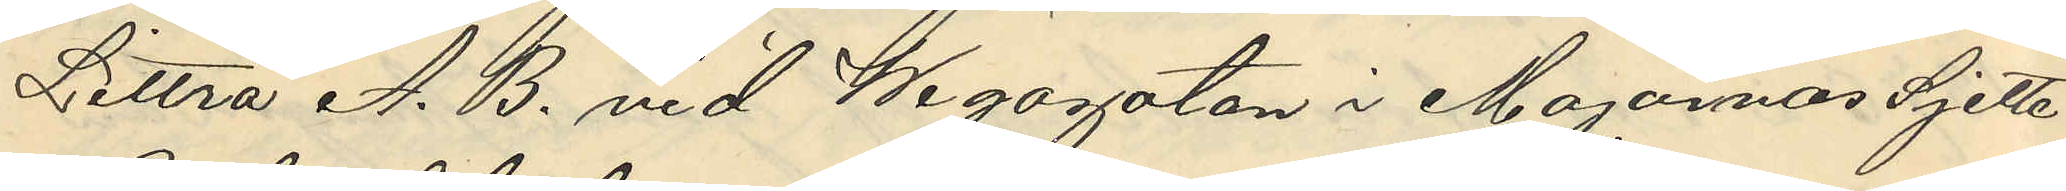Littra A. B. vid Wegaggatan i Majornas Sjette
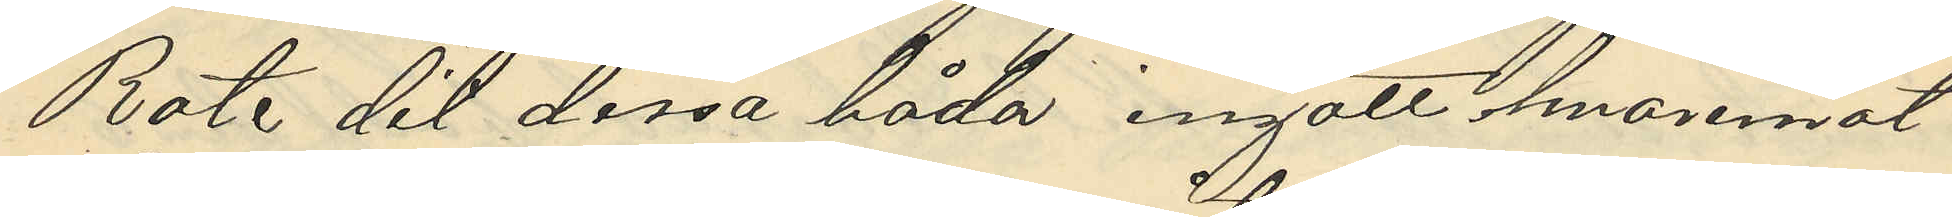Rote dit dessa båda ingått hvaremot
